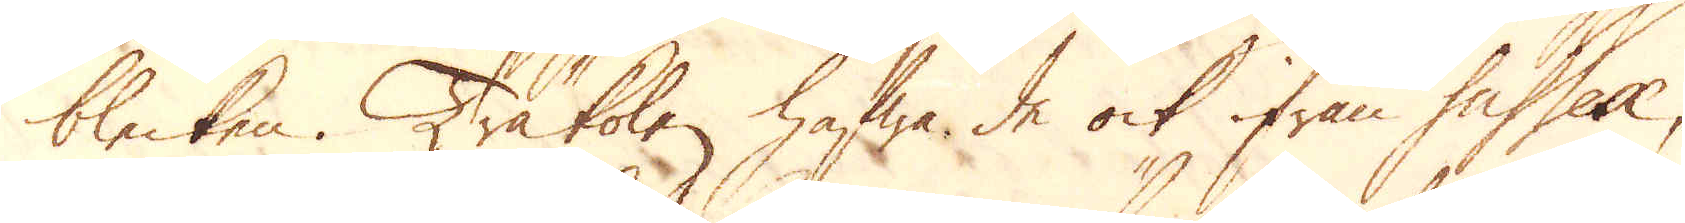blecken. Träkolen hafwa de ock ifrån Sussex,
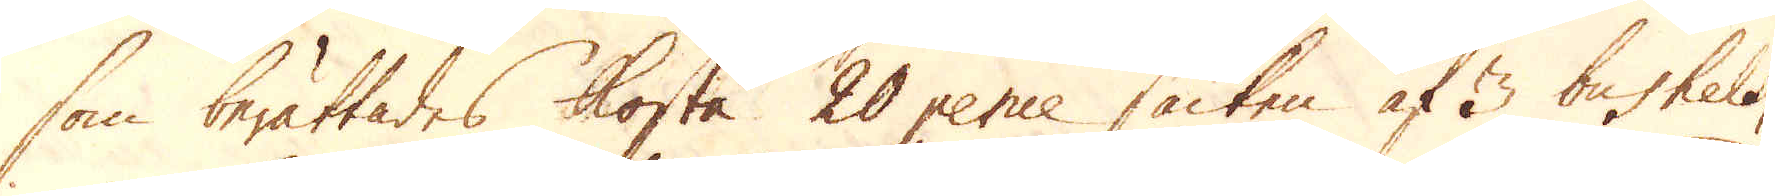som berättades kosta 20 pence säcken af 3 bushels,
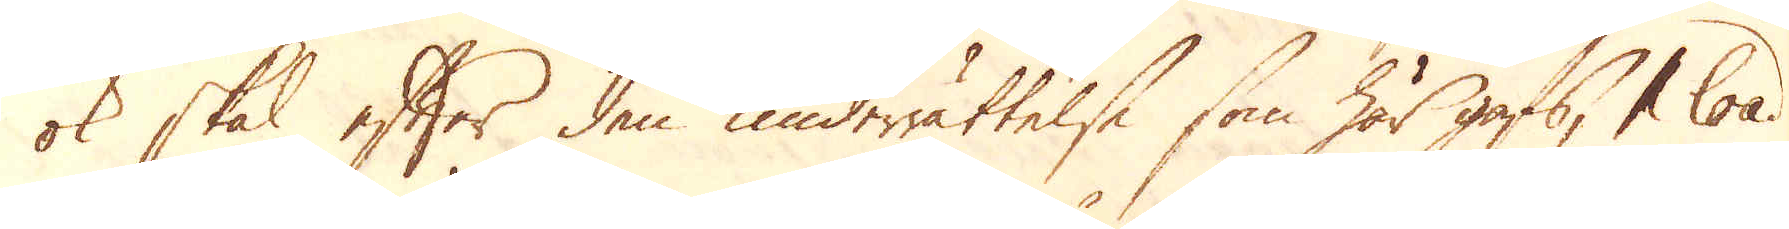ok skal efter den underrättelse som här gafs, 1 load
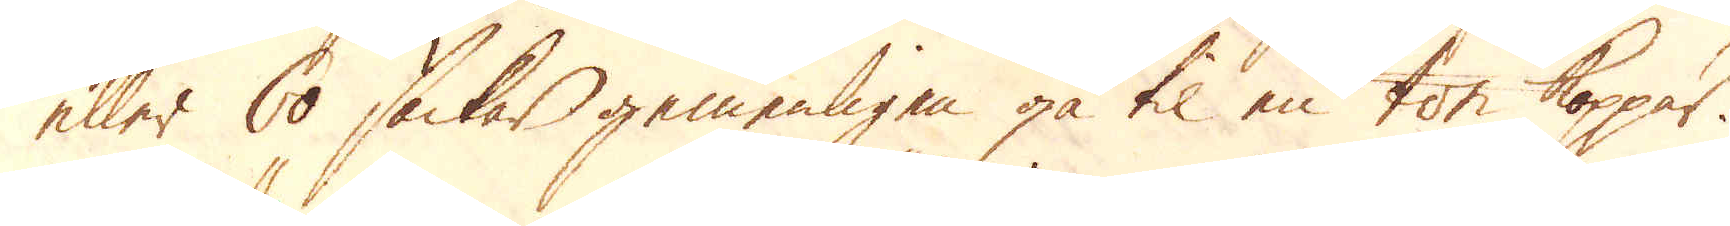eller 60 säckar gemenligen gå til en ton koppar.
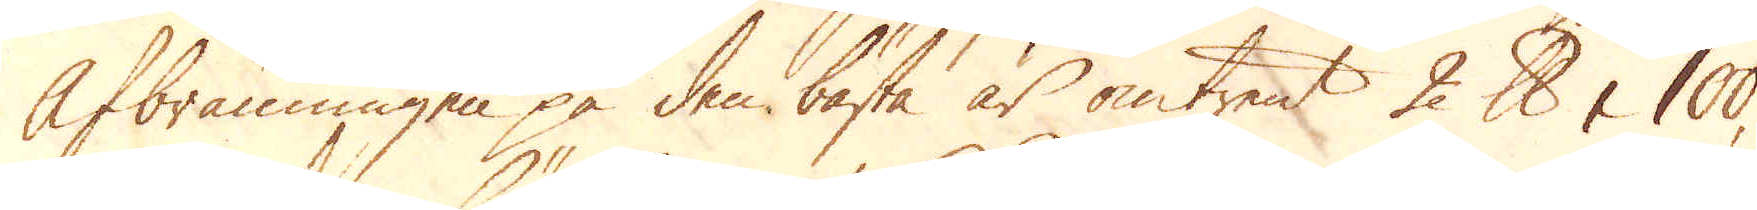Afbränningen på den bästa är omtrent 2 skålpund i 100,
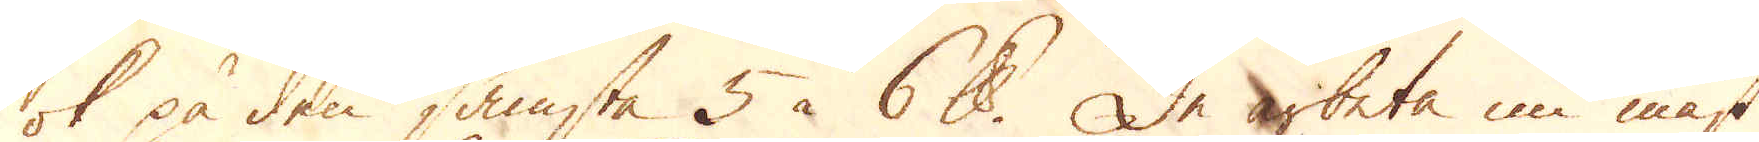ok på den sämsta 5 à 6 skålpund. De arbeta nu mäst
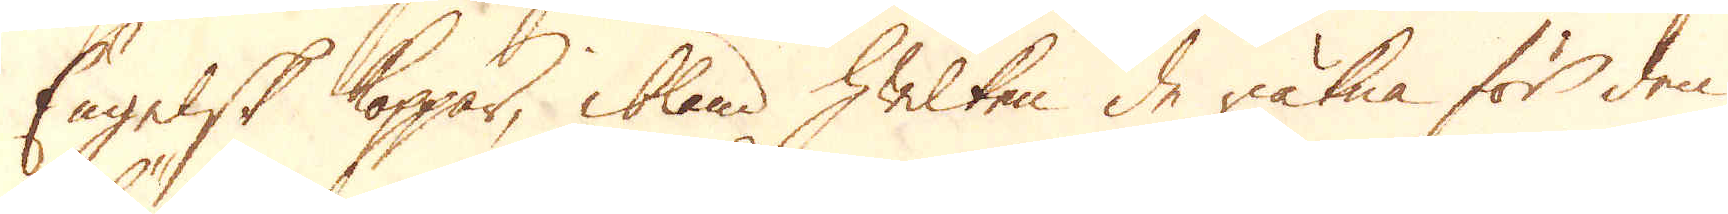Engelsk koppar, ibland hwilken de räkna för den
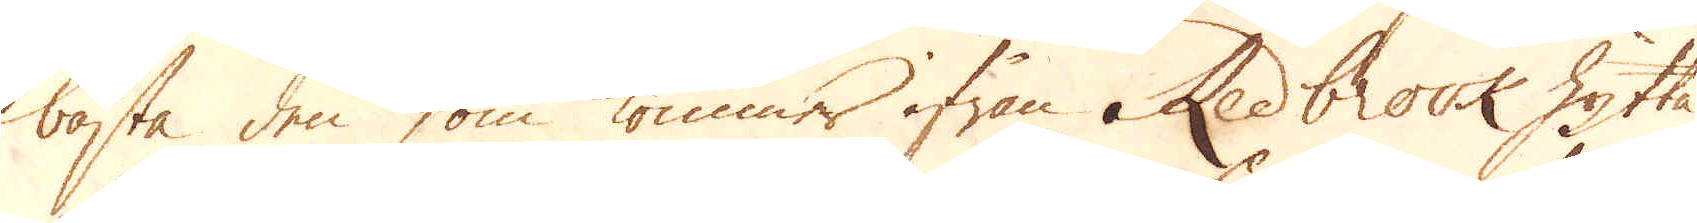bästa den som kommer ifrån Redbrook hytta
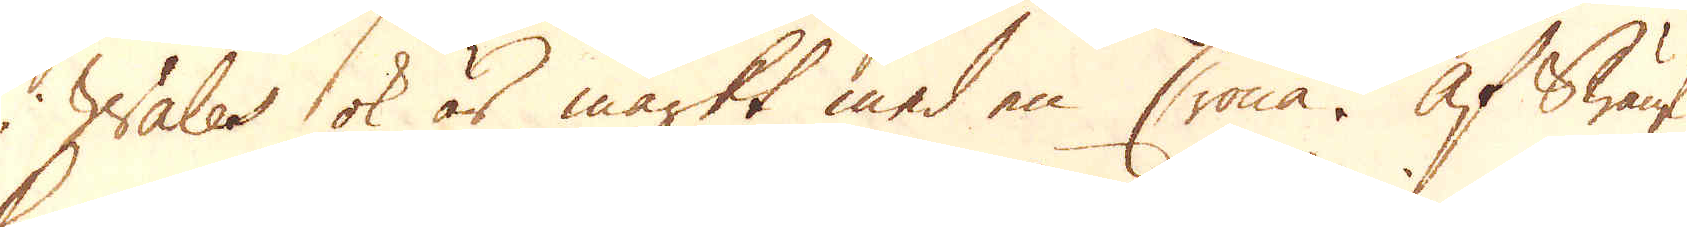i Wales ok är märkt med en Crona. Af Swänsk
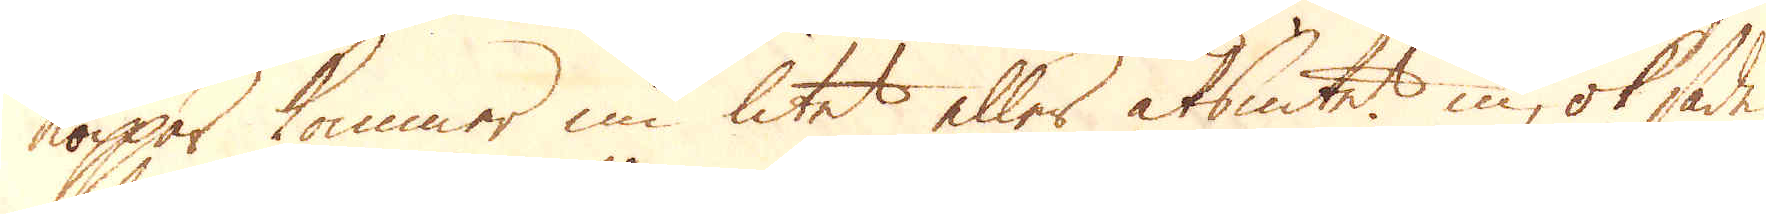koppar kommer nu litet eller alsintet in, ok sade
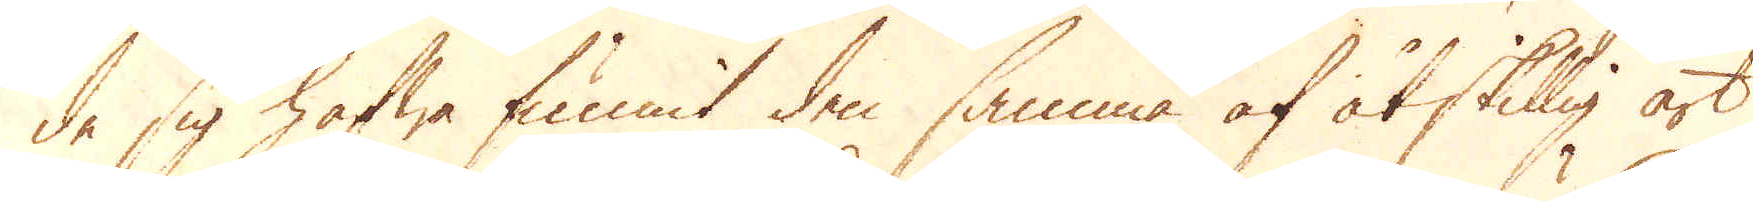de sig hafwa funnit den samma af åtskillig art
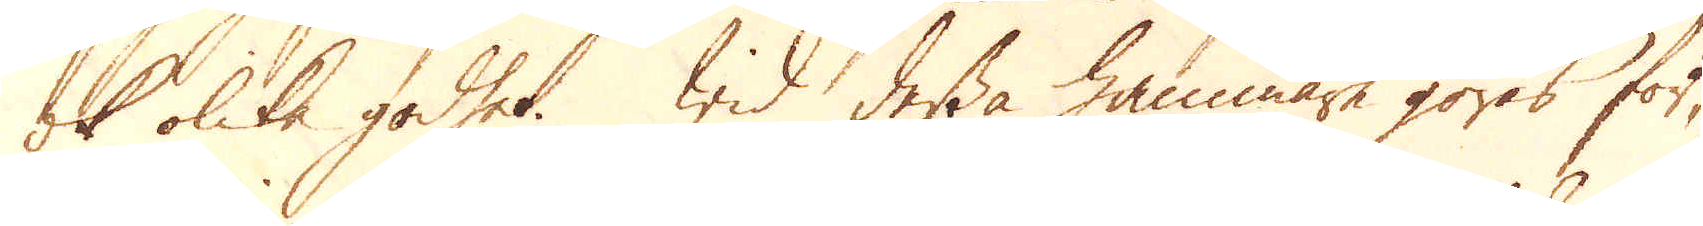ok olika godhet. Wid dessa hammare göras för-
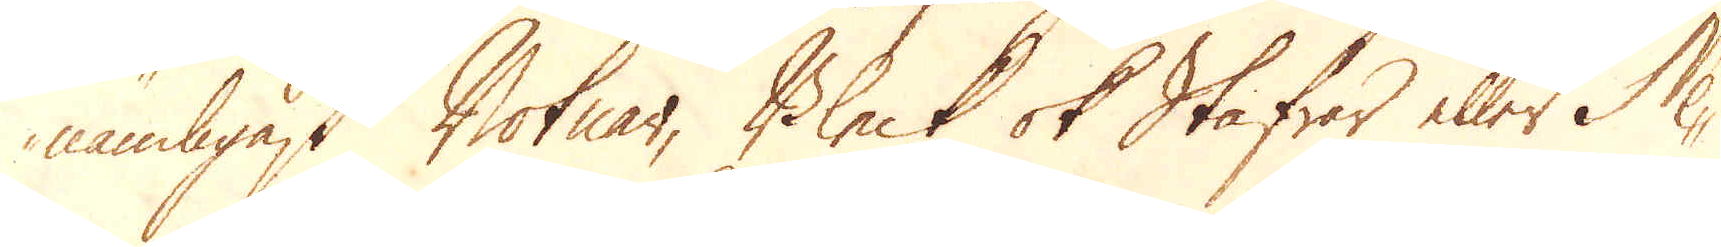nämligast Botnar, Bleck ok Stafvar eller Ne-
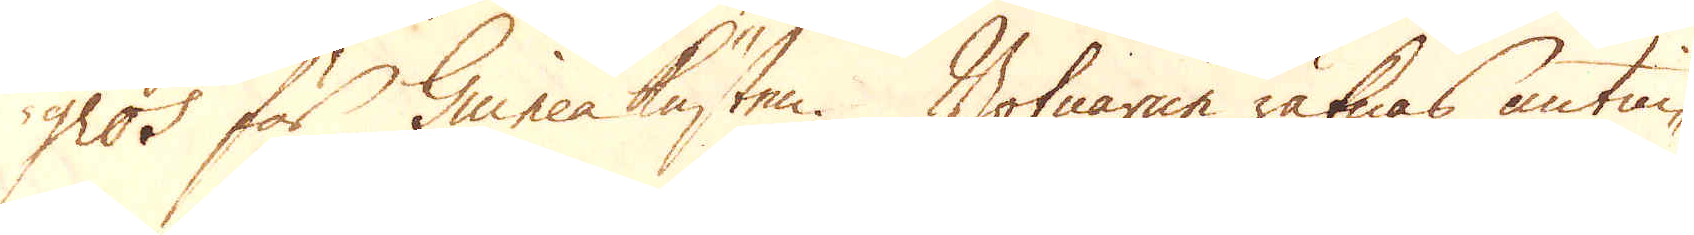gros för Guineakusten. Botnarne räknas antin-
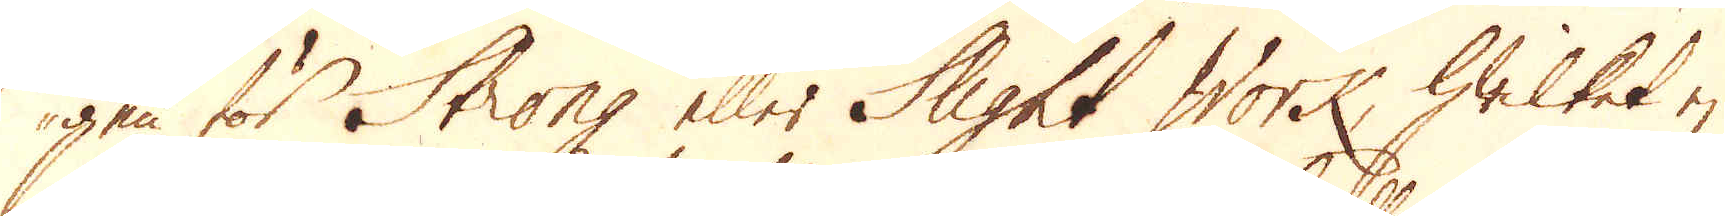gen för Strong eller Slight Work, hwilket ej
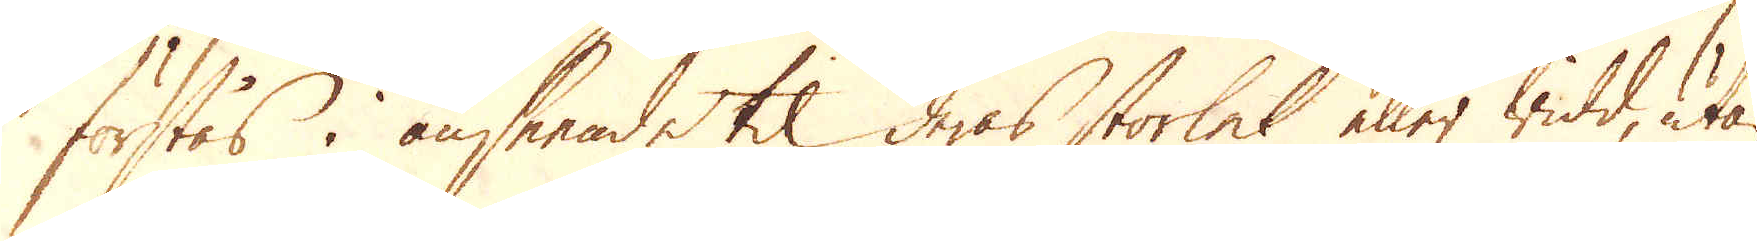förstås i anseende til deras storlek eller widd, utan
